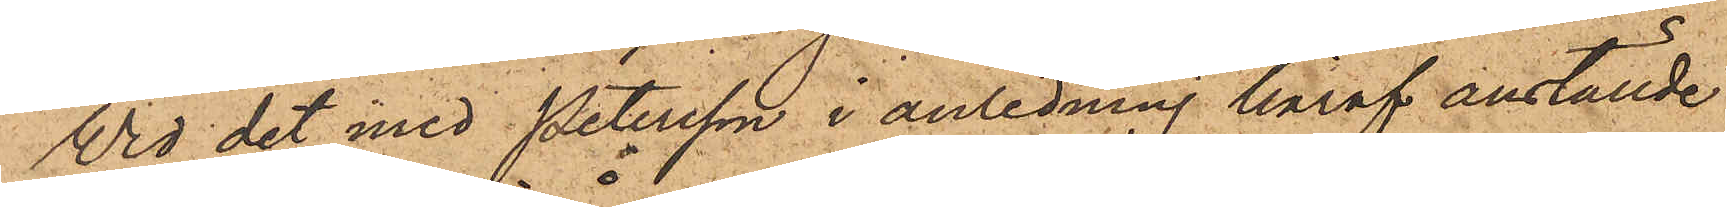Vid det med Petersson i anledning häraf anställde
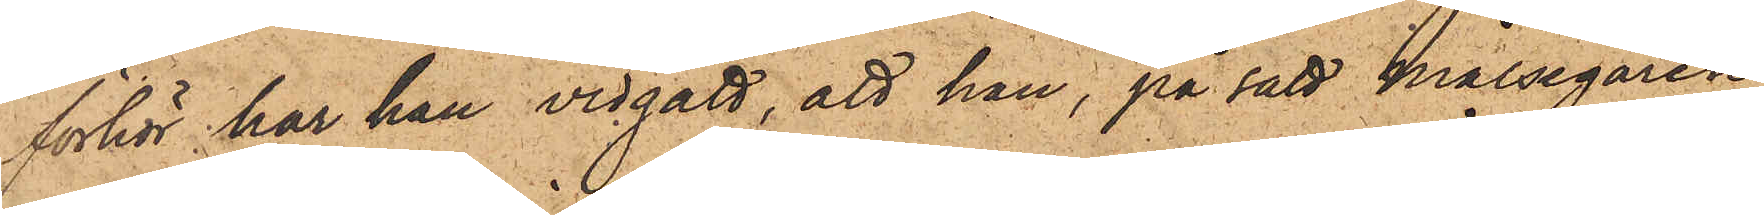förhör har han vidgått, att han, på sätt målsegaren
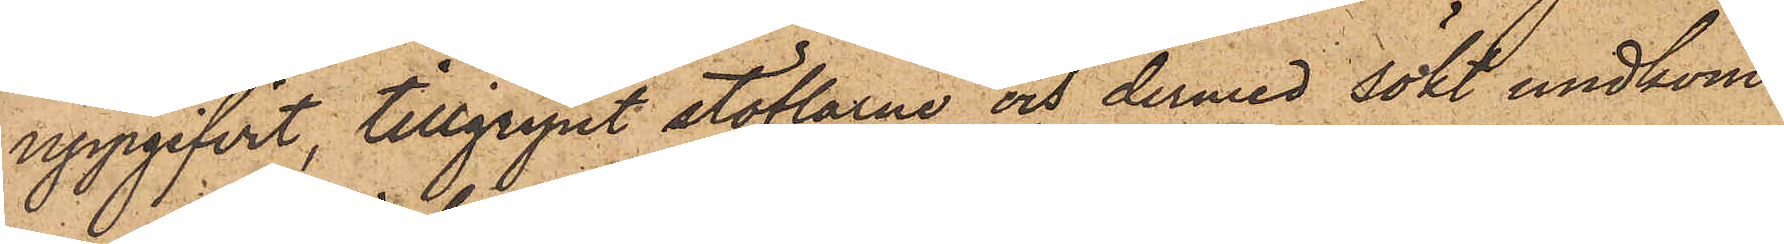uppgifvit, tillgripit stöflarne och dermed sökt undkom¬
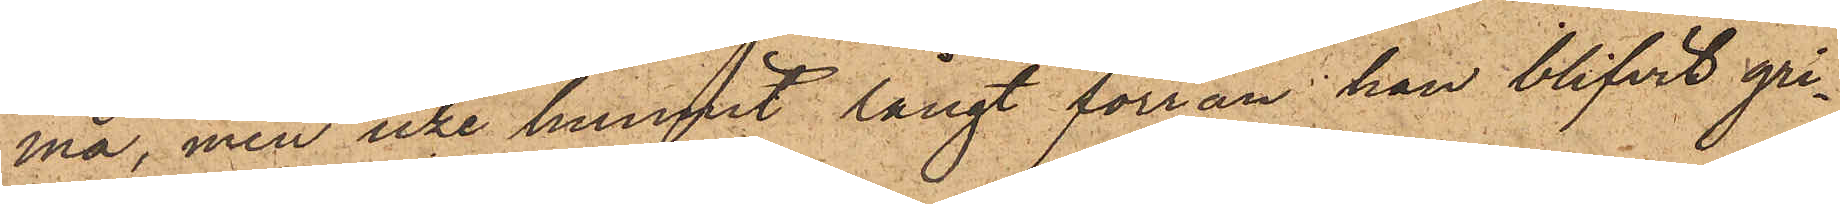ma, men icke hunnit längt förrän han blifvit gri¬
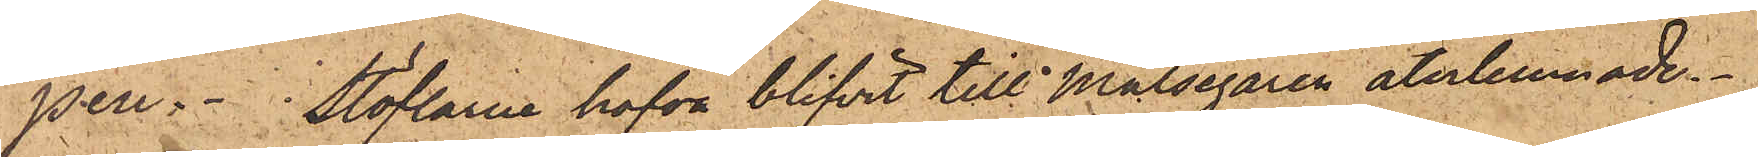pen. Stöflarne hafva blifvit till Målsegaren återlemnade.
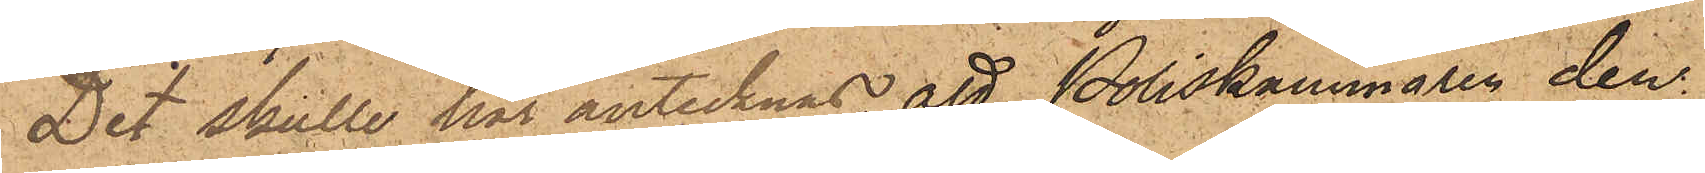Det skulle här antecknas att Poliskammaren den
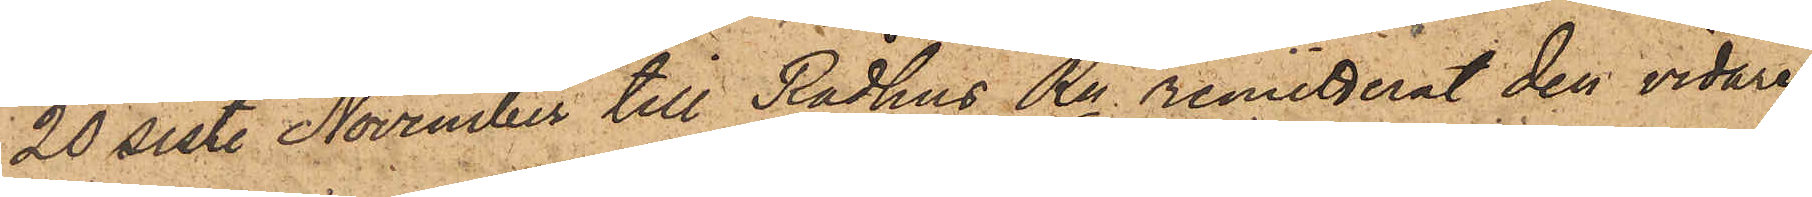20 sist. November till Rådhus Rn remitterat den vidare
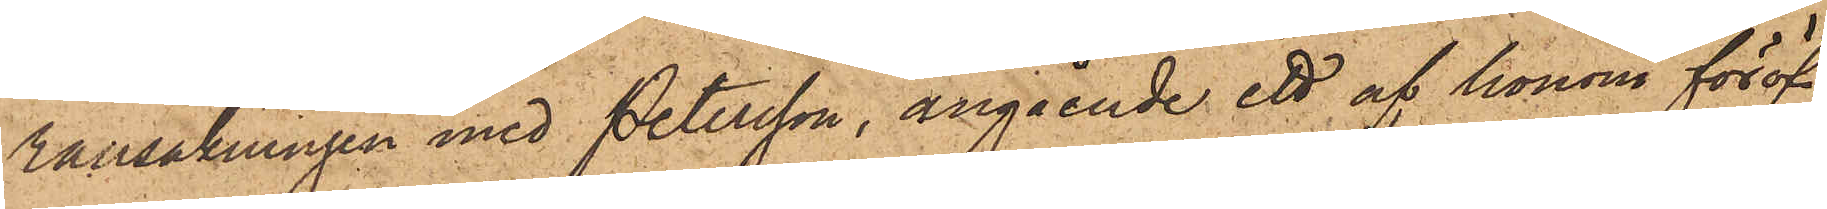ransakningen med Petersson, angående ett af honom föröf¬
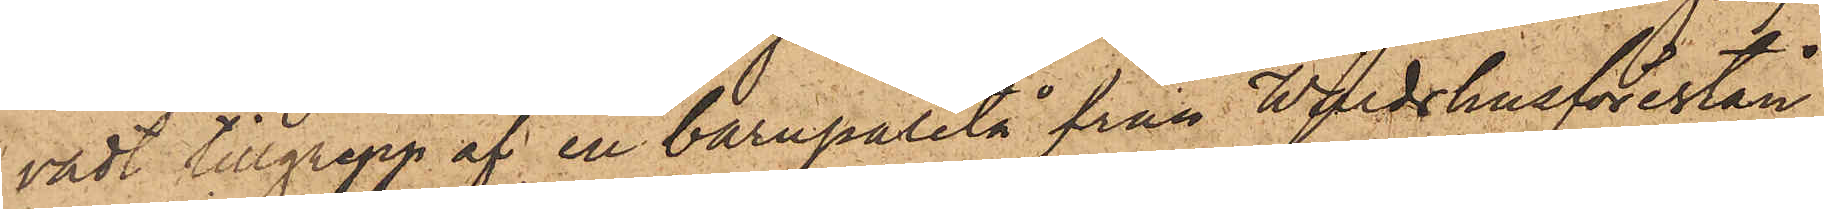vadt tillgrepp af en barnpaletå från Wärdshusförestån¬
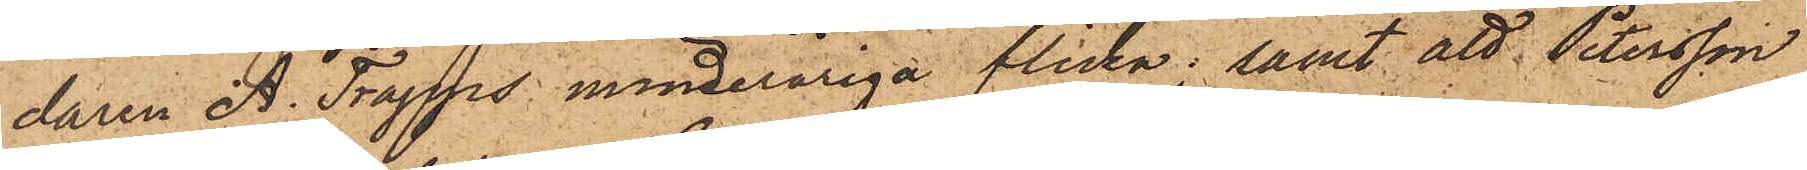daren A. Trapps minderåriga flicka; samt att Petersson
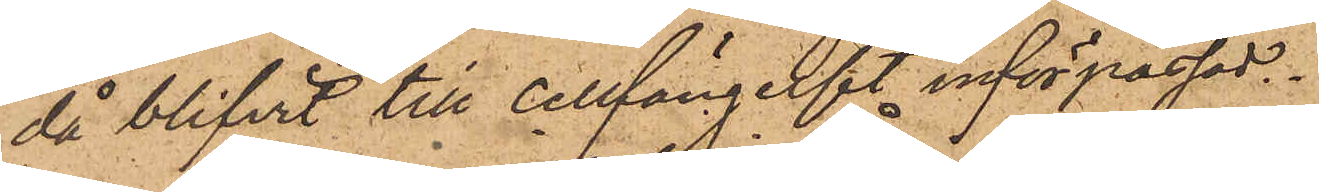då blifvit till cellfängelset införpassad.
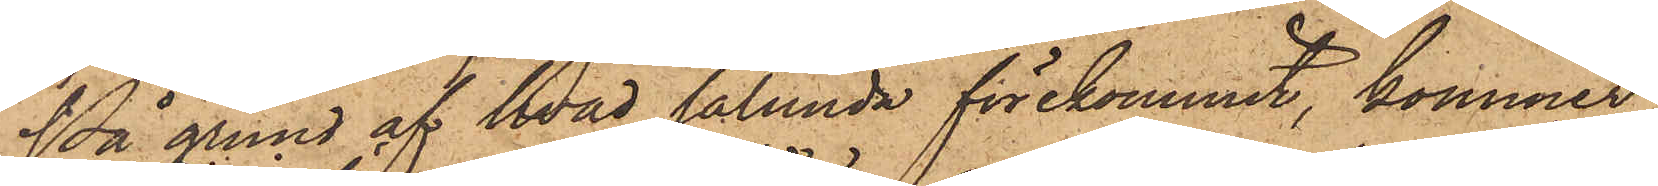På grund af hvad sålunda förekommit, kommer
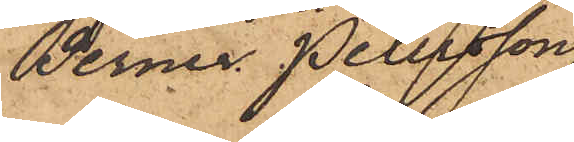Berner Petersson
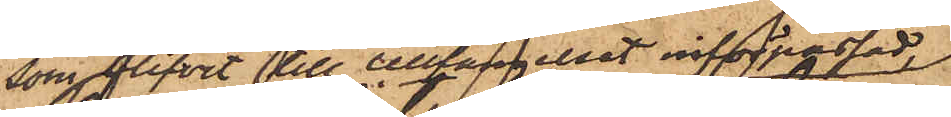som blifvit till Cellfängelset införpassad,
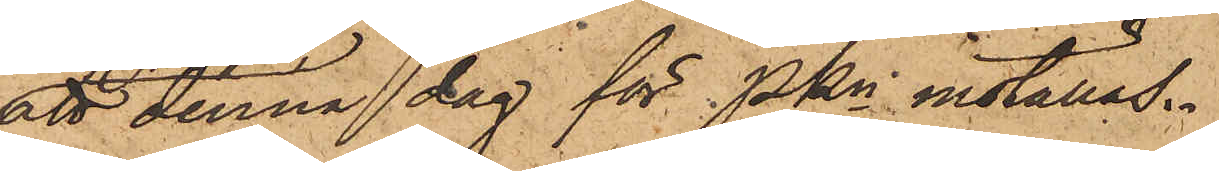att denna dag för PKn inställas.
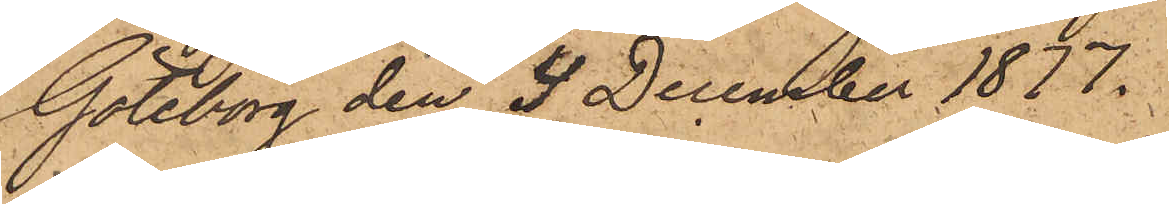Göteborg den 4 December 1877.
